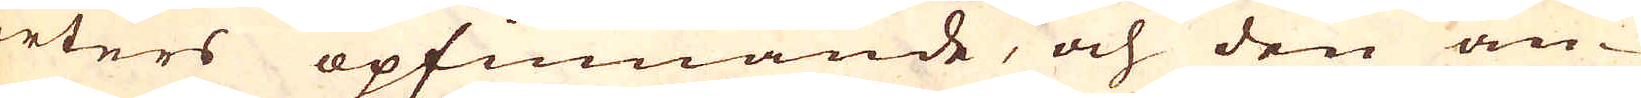arters opfinnande, och den an-
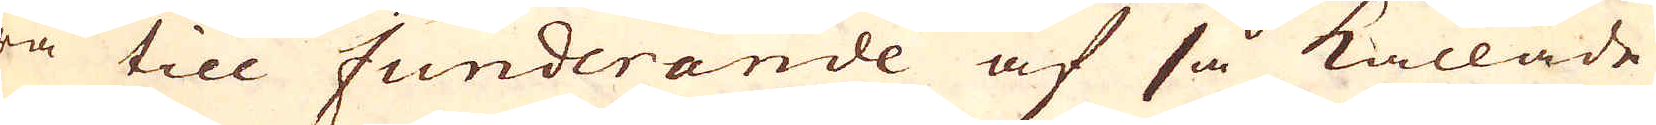dra till funderande af så kallade
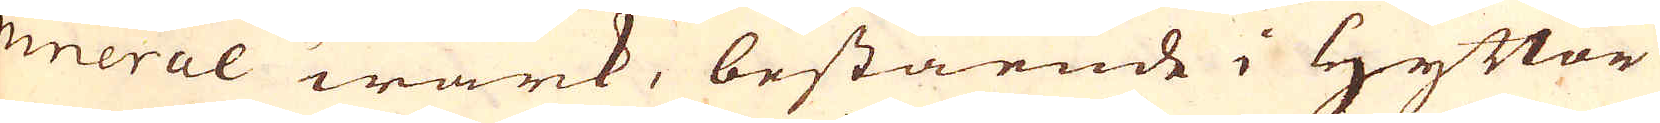mineral wärk, bestående i Hyttor
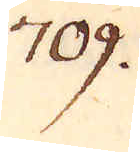709.
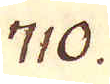710.
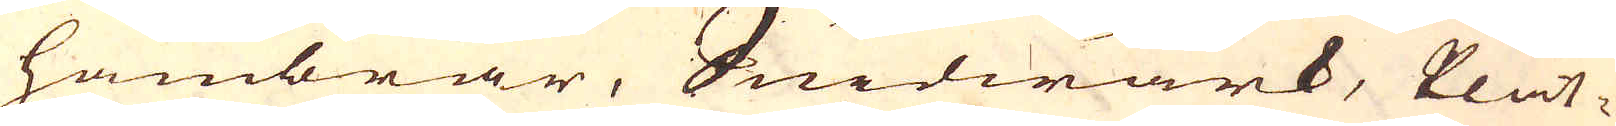hambrar, Smidwärk, Plåt-
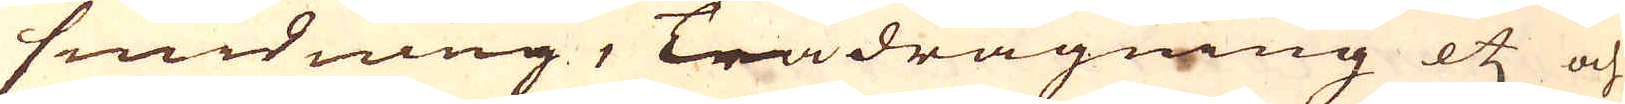smidning, Trådragning etc och
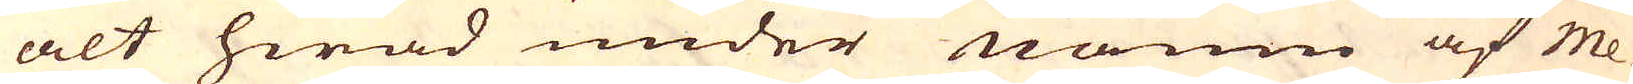alt hwad under namn af Me-
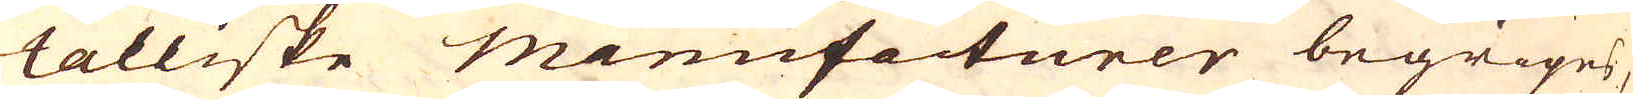talliske manufacturer begripes,
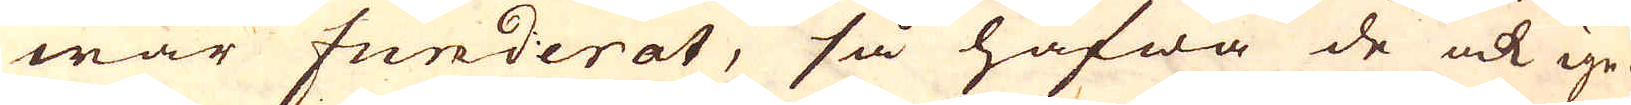war funderat, så hafwa de ock ige-
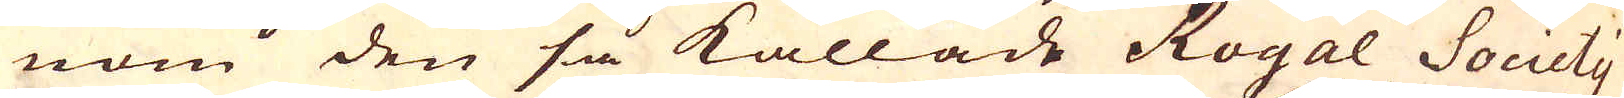nom den så kallade Royal Society
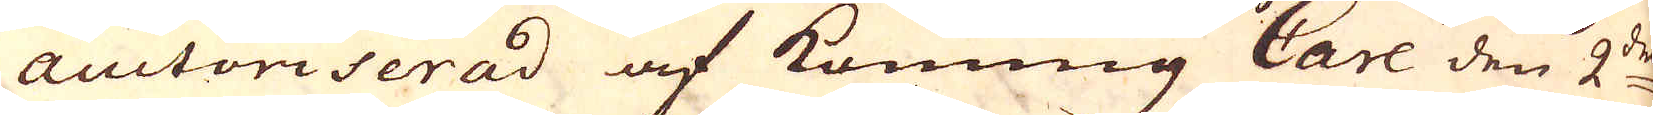auctoriserad af Konung Carl den 2:dra
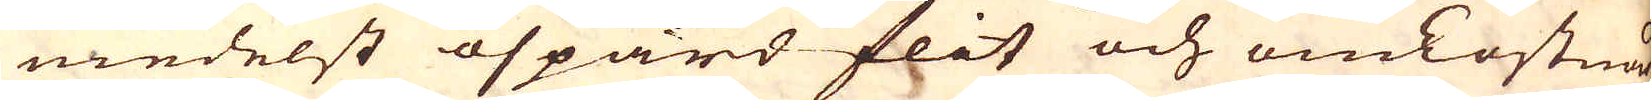medelst ospard flit och omkostnad
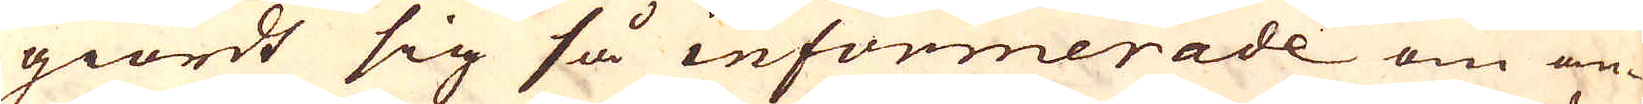giordt sig så informerade om an-
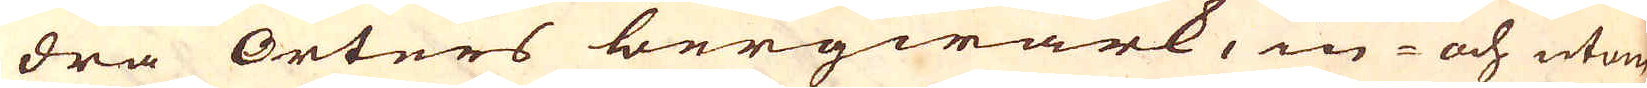dra Orters bergwärk, in- och utom
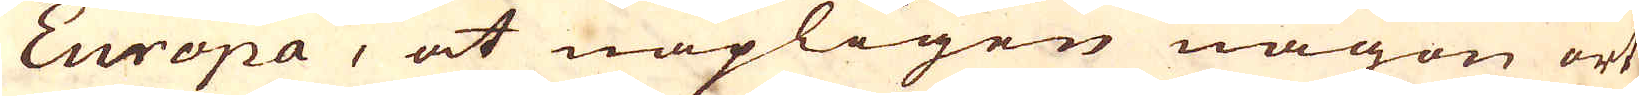Europa, at näpligen någon ort
